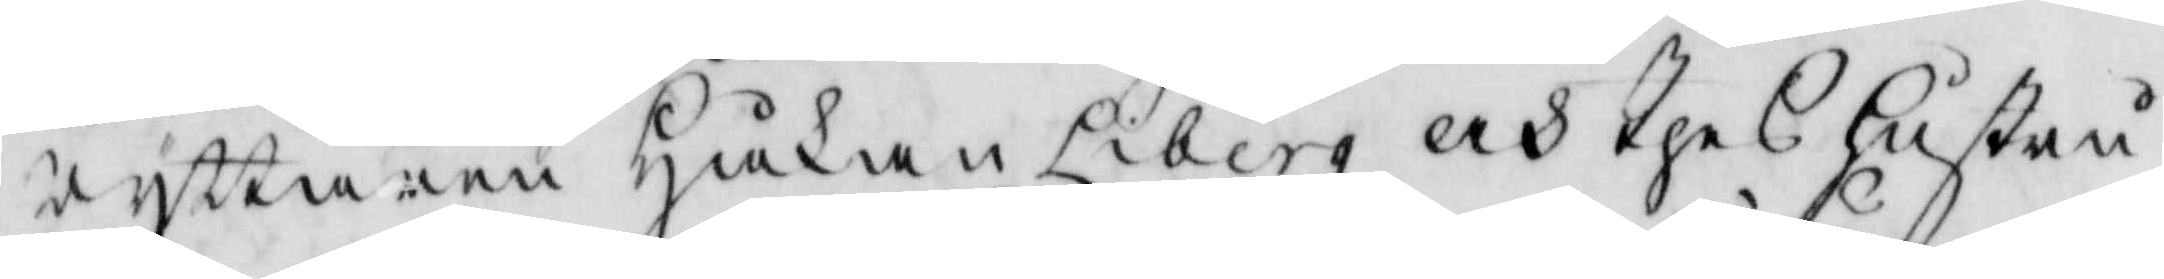ryttaren Håkan Liberg och thes hustru
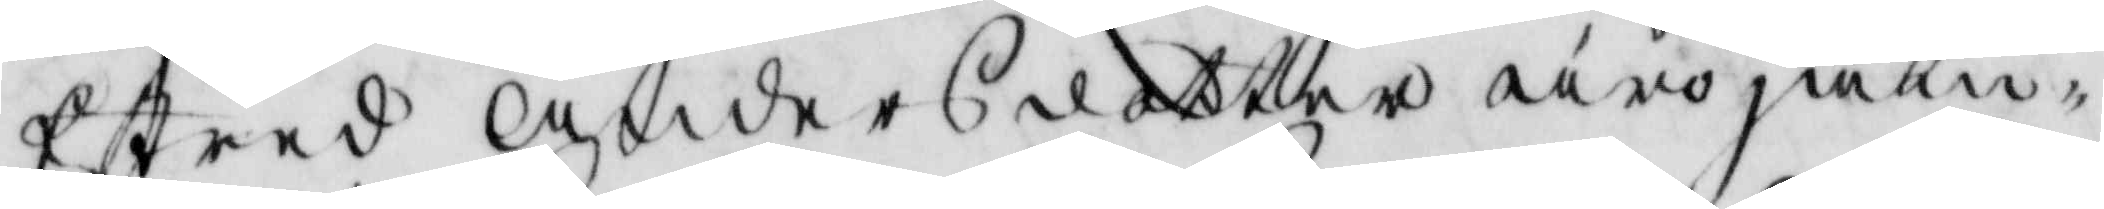Estred Andersdotter äro jäm¬
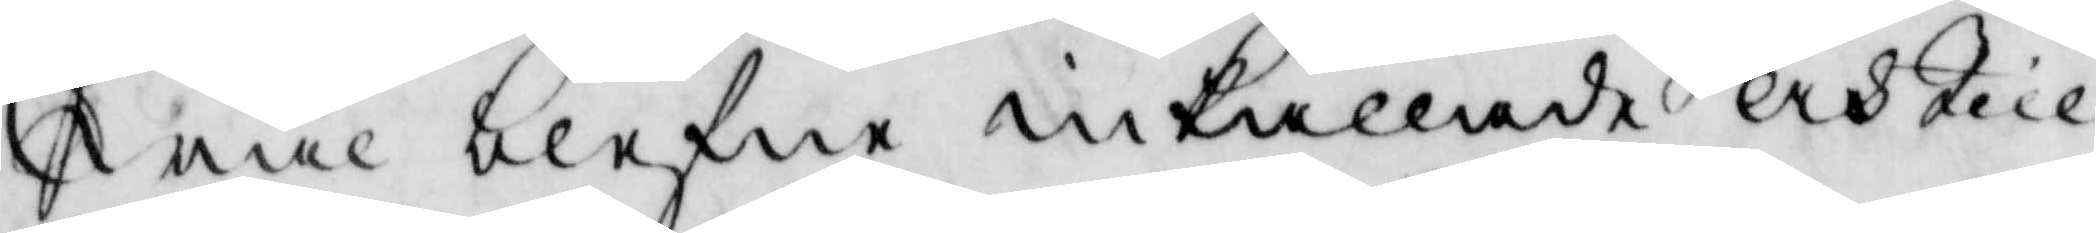wäl blefne inkallade och till¬
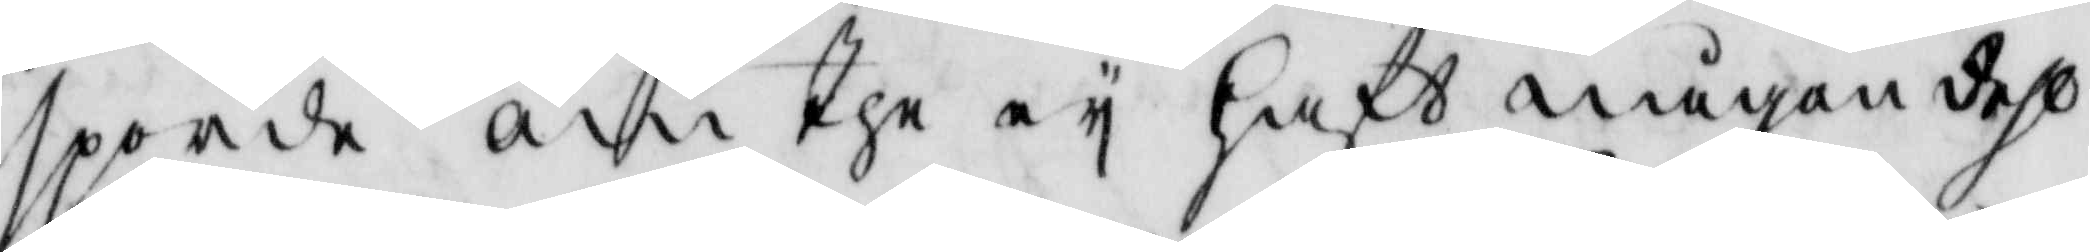sporde om the ey haft någon dehl
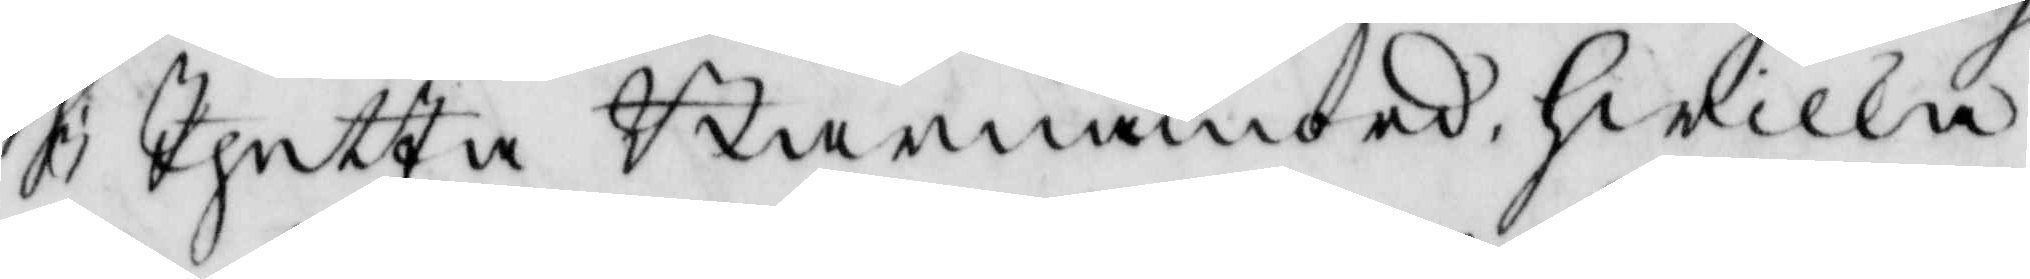i Bengta barnamord, hwilka
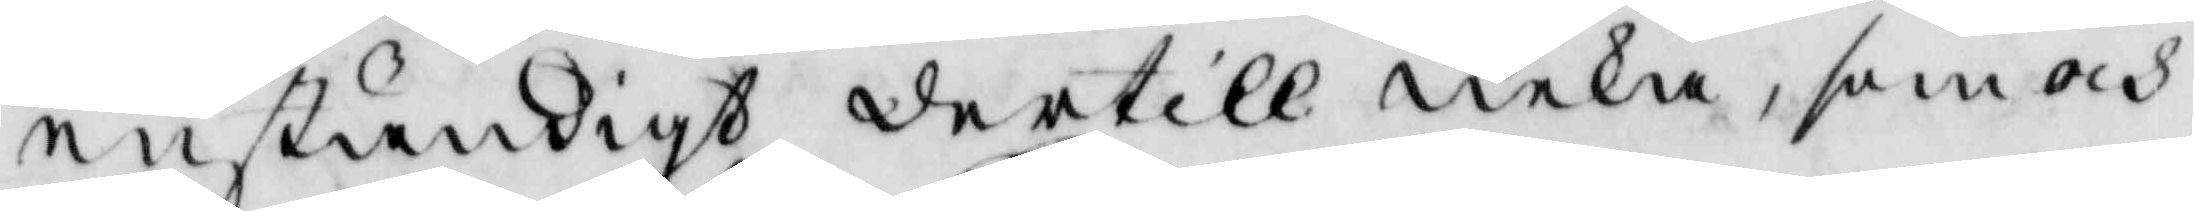enständigt dertill neka, som ock
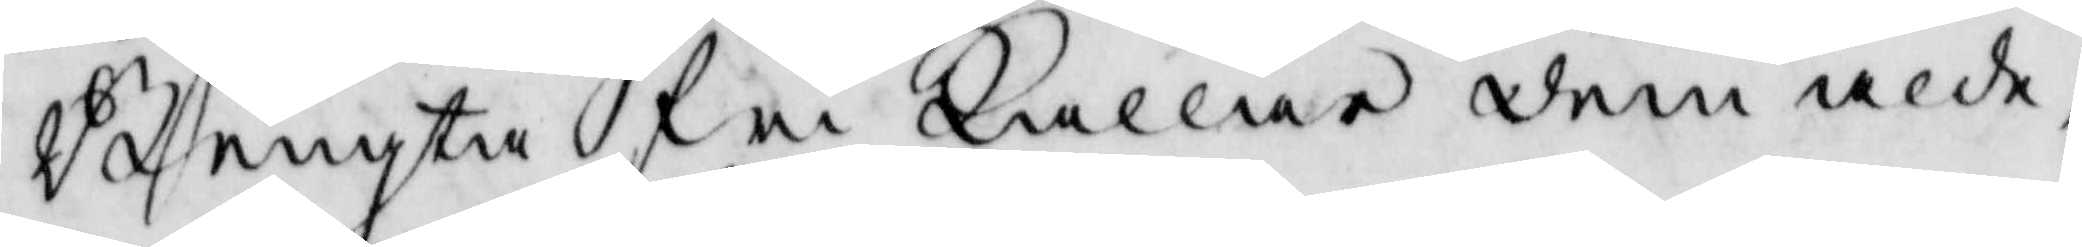Bengta fri kallar dem alde¬
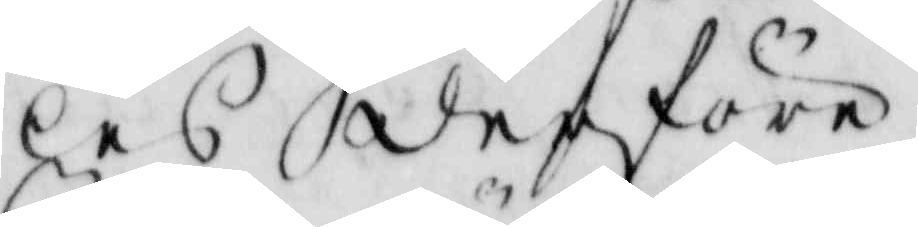les derföre.
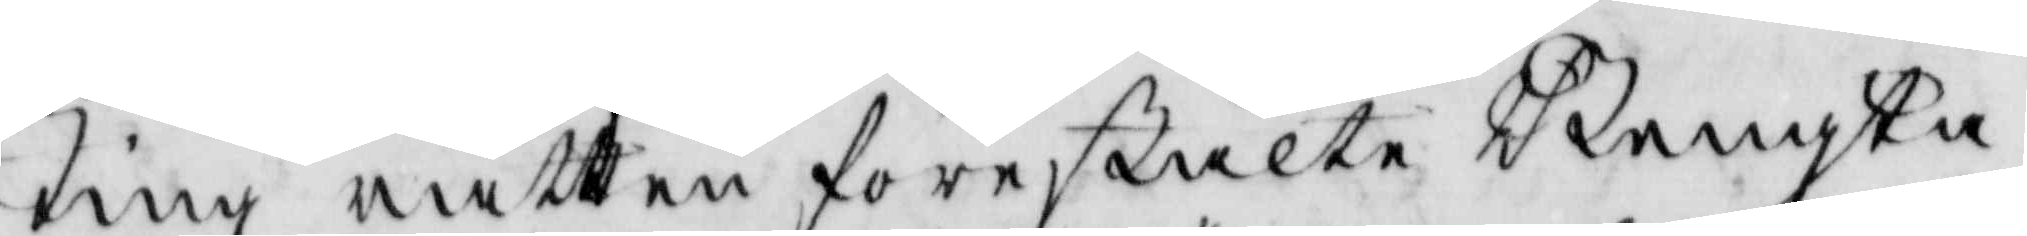Tingz rätten förestälte Bengta
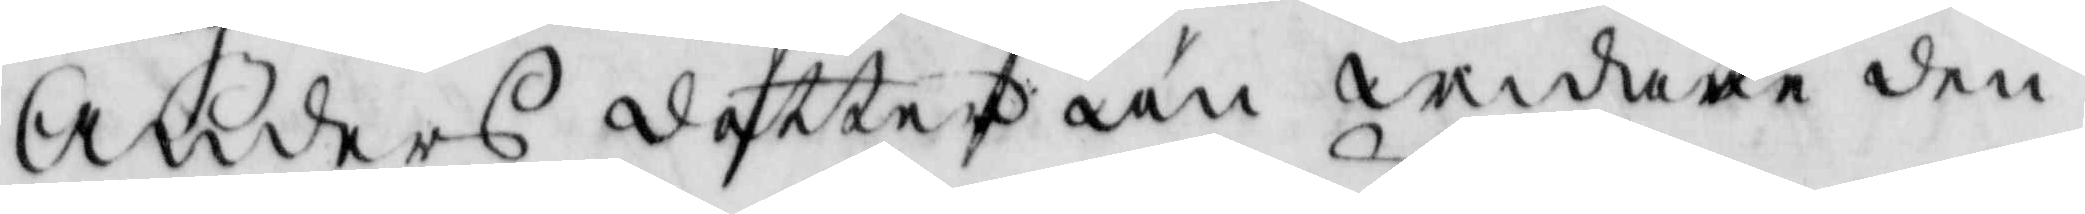Anders dotter än andere den
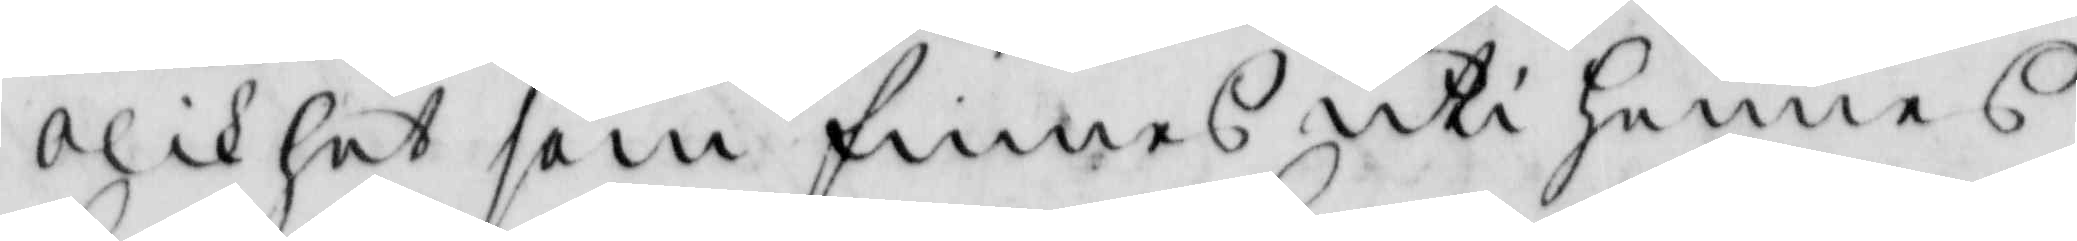olikhet som finnes uti hennes
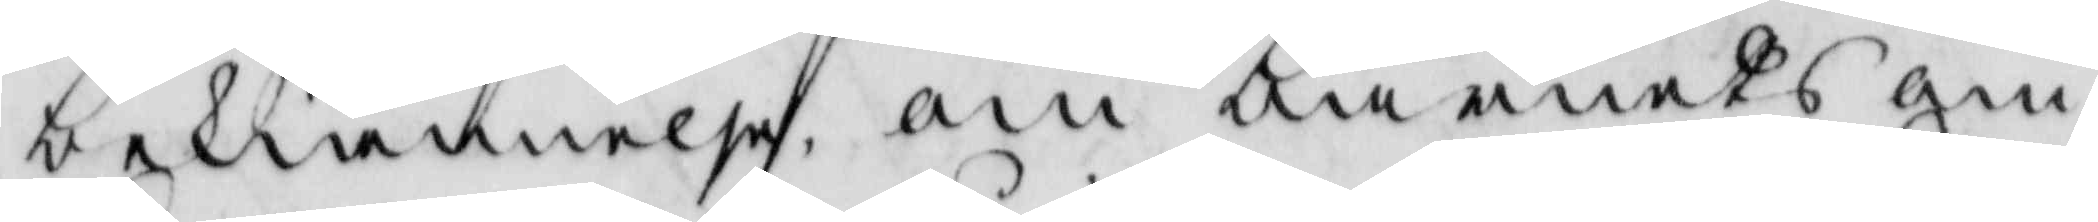bekiännelse om barnets om¬
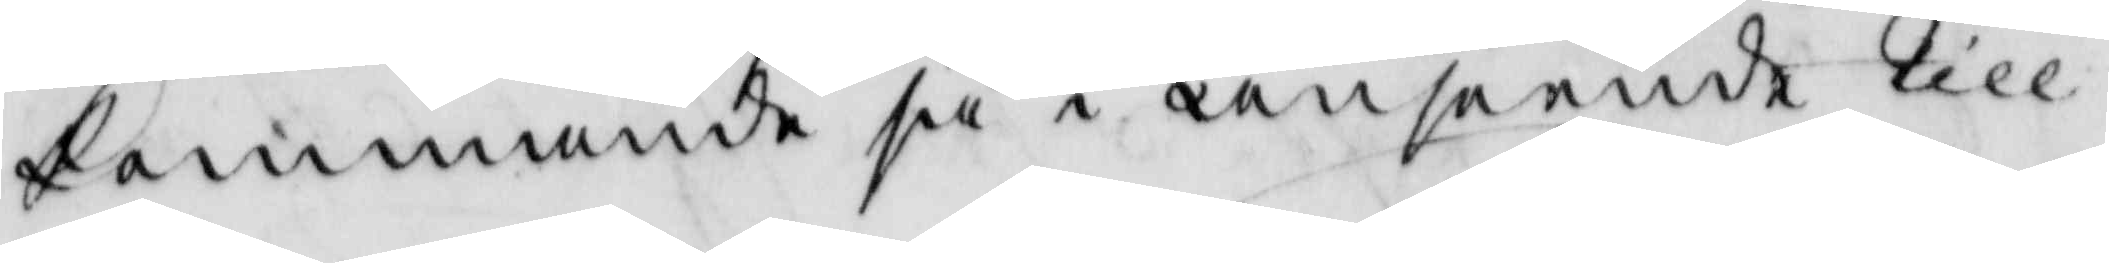kommande så i anseende till
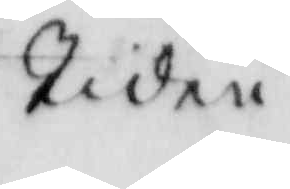tiden
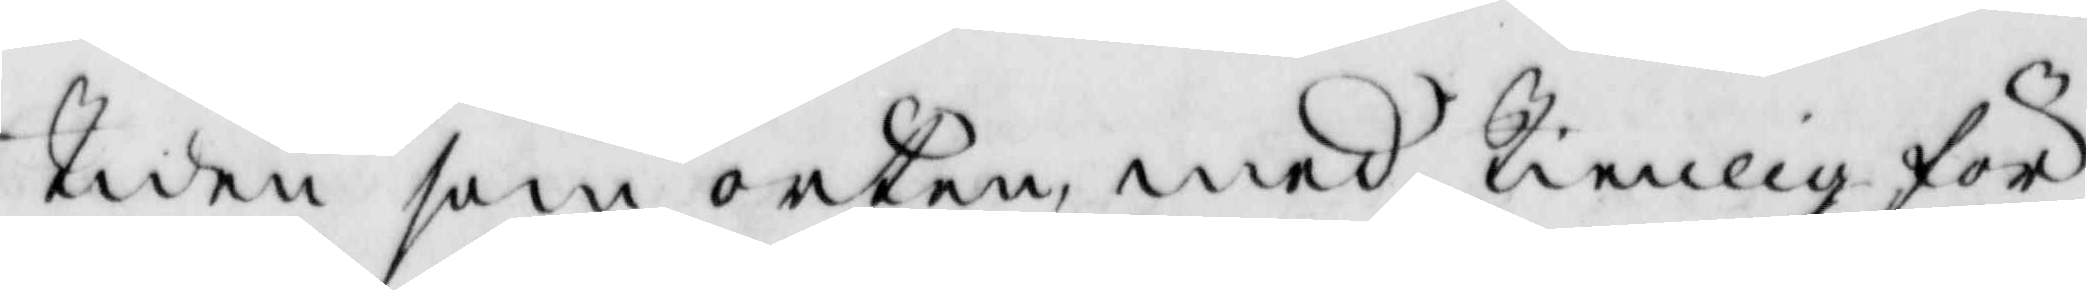tiden som orten med tienlig för¬
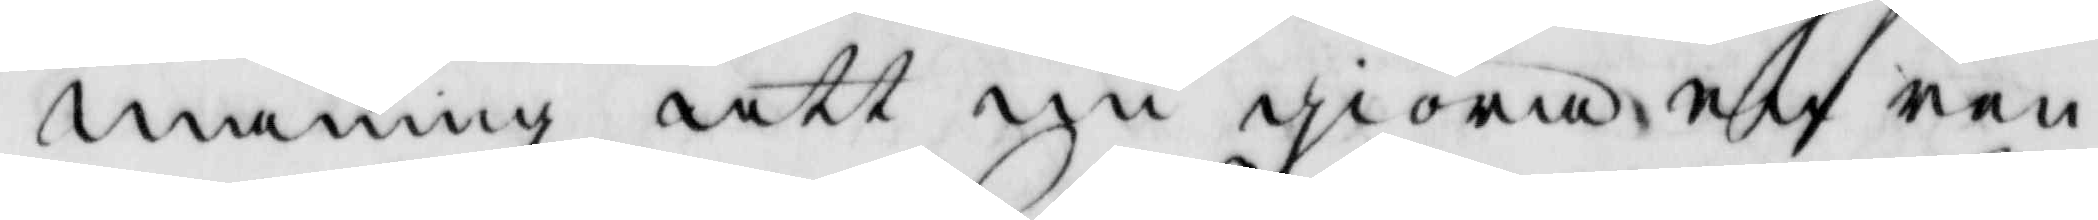maning att nu giöra en ren
